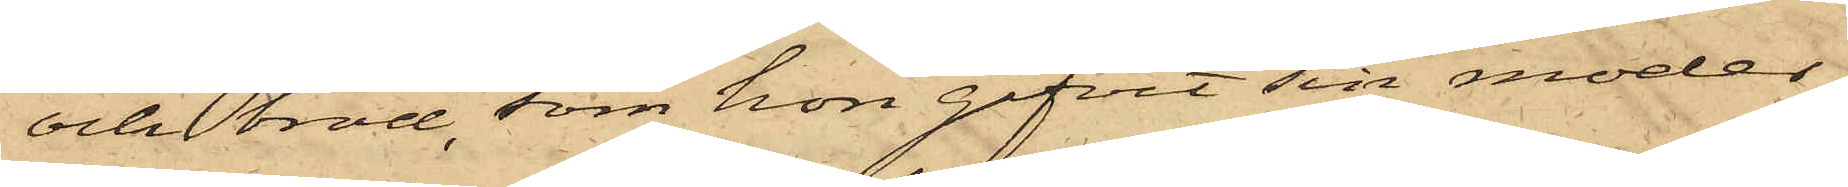och bröd, som hon gifvit sin moder,
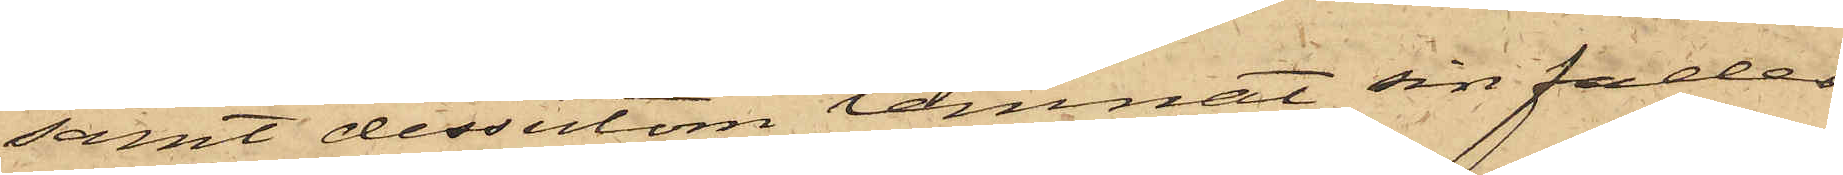samt dessutom lemnat sin fader
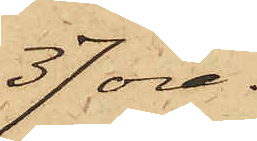37 öre.
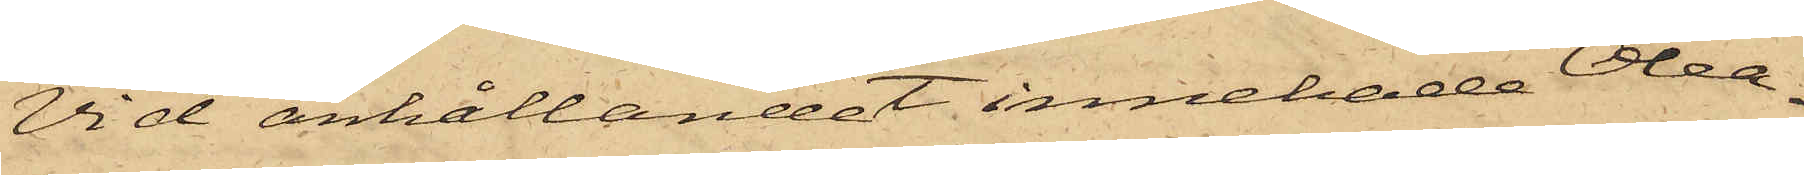Vid anhållandet innehade Olea¬
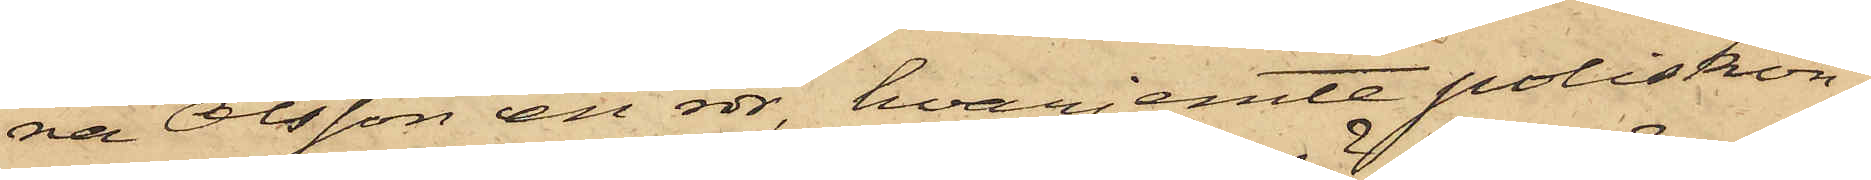na Olsson en rdr, hvarjemte poliskon¬
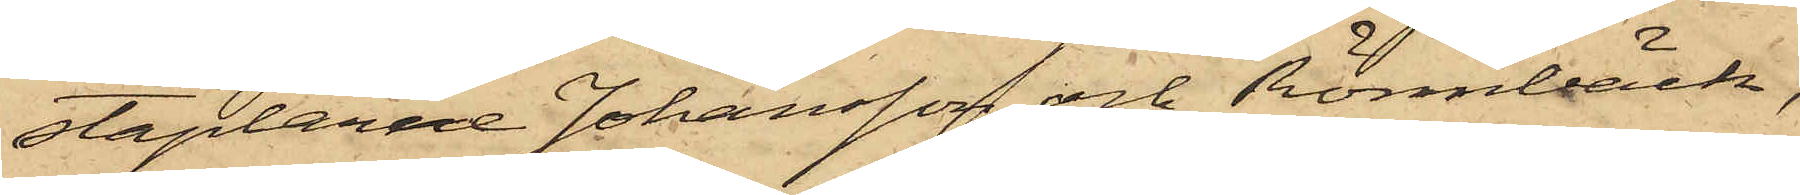staplarne Johansson och Rönnbäck,
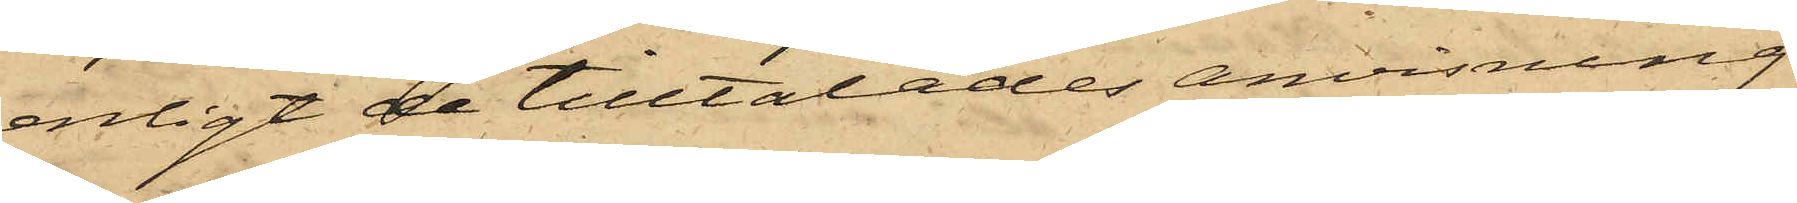enligt de tilltalades anvisning
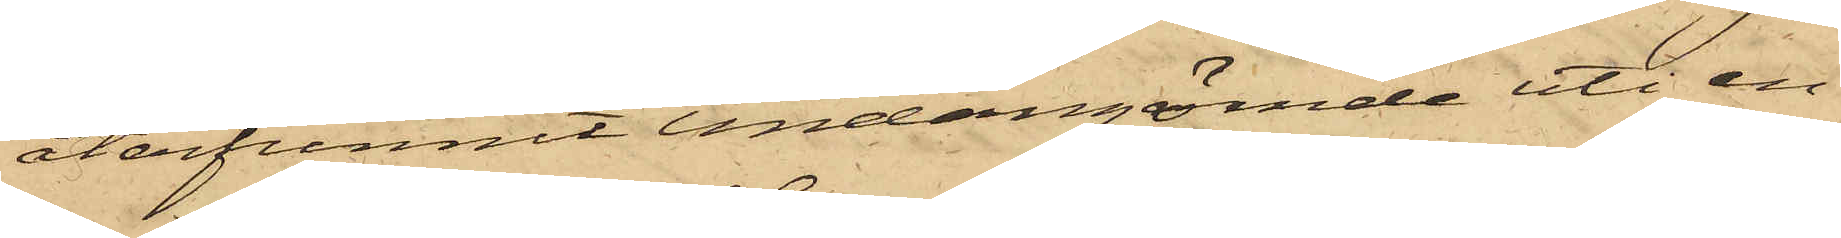återfunnit undangömde uti en
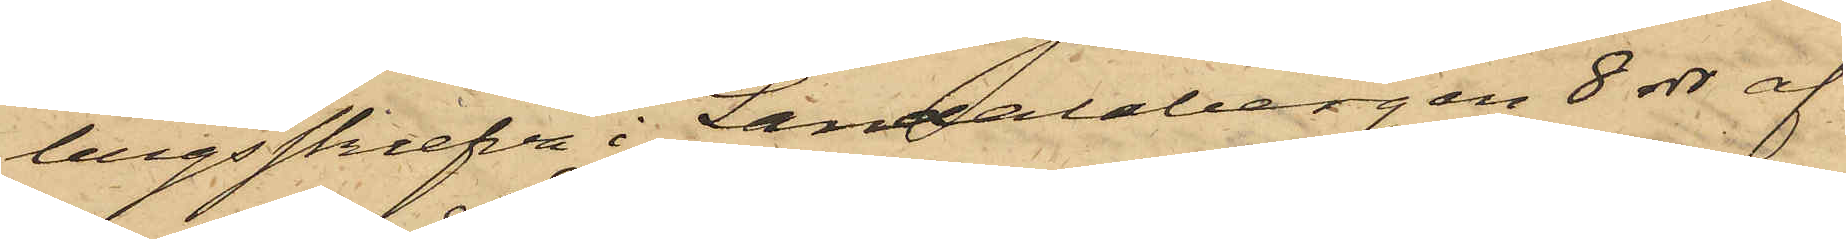bergsskrefva i Landalabergen 8 rdr af
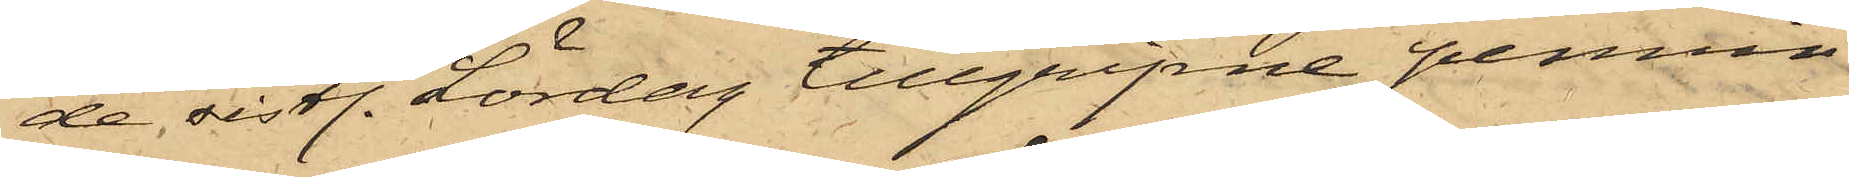de sistl. Lördag tillgripne pennin¬
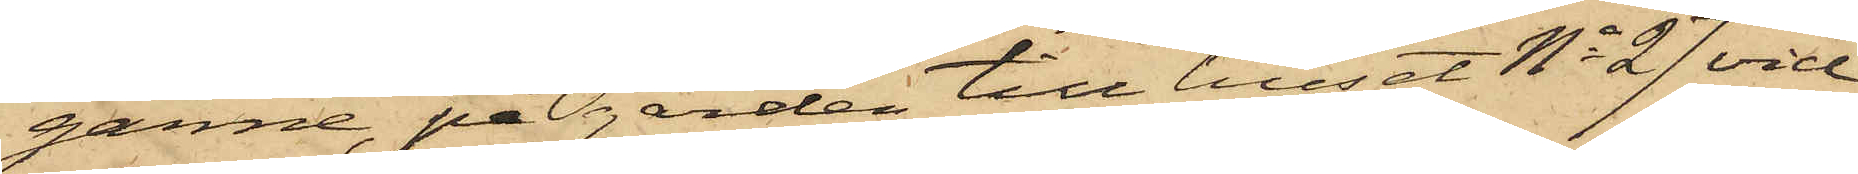garne, på gården till huset No 27 vid
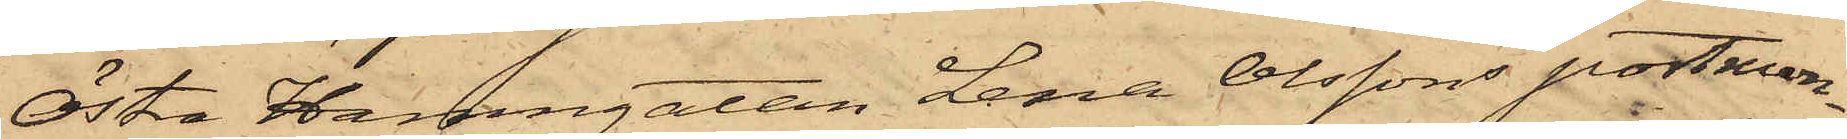Östra Hamngatan Lena Olssons portmon¬
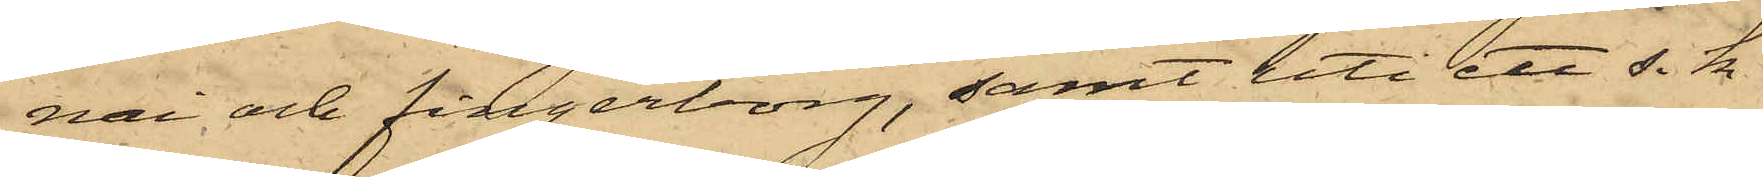nai och fingerborg, samt uti ett s. k.
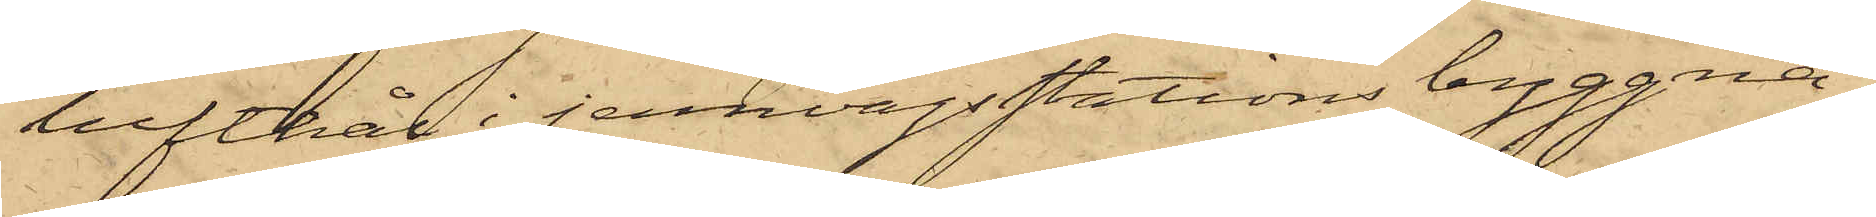lufthål i jernvägsstations byggna¬
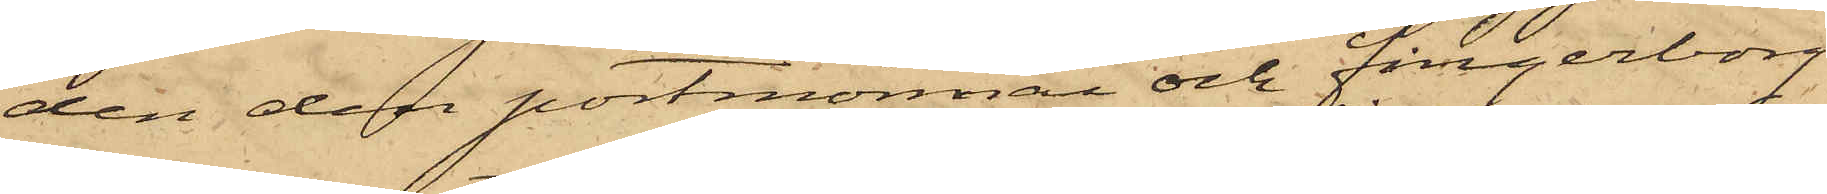den den portmonnai och fingerborg
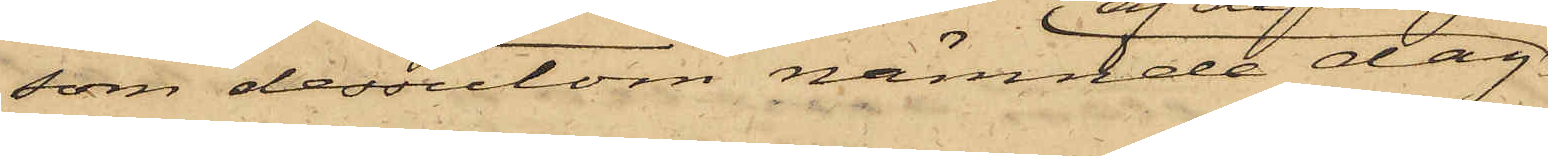som dessutom nämnde dag
